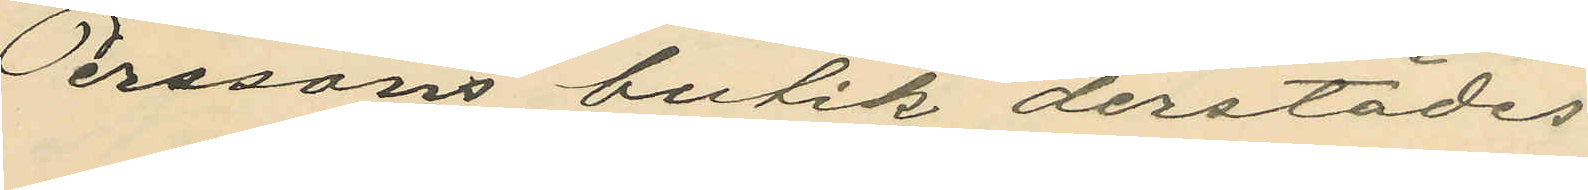Perssons butik derstädes
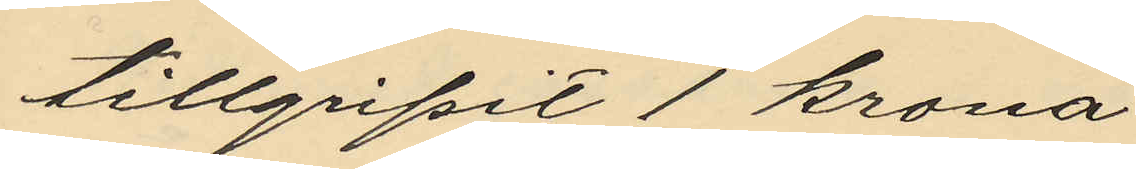tillgripit 1 krona
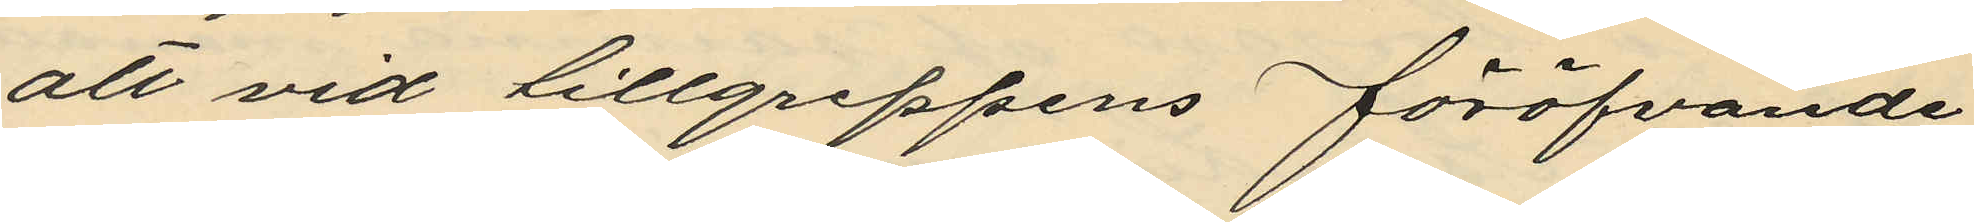att vid tillgreppens föröfvande
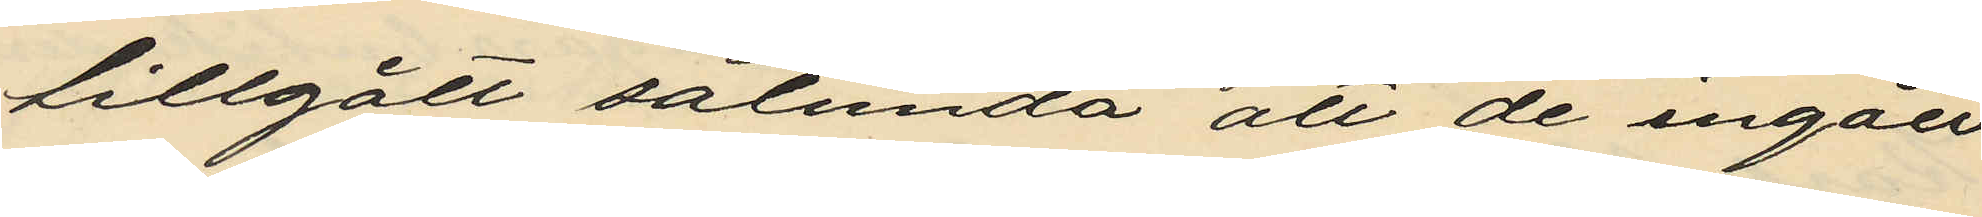tillgått sålunda att de ingått
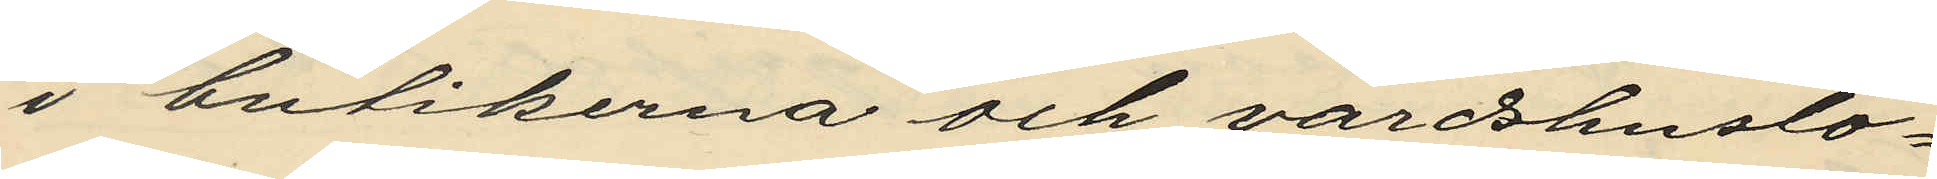i butikerna och värdshuslo¬
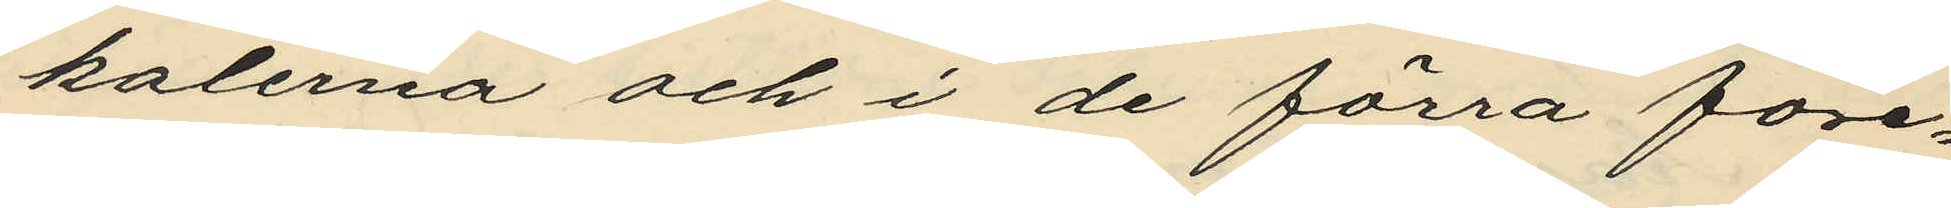kalerna och i de förra före¬
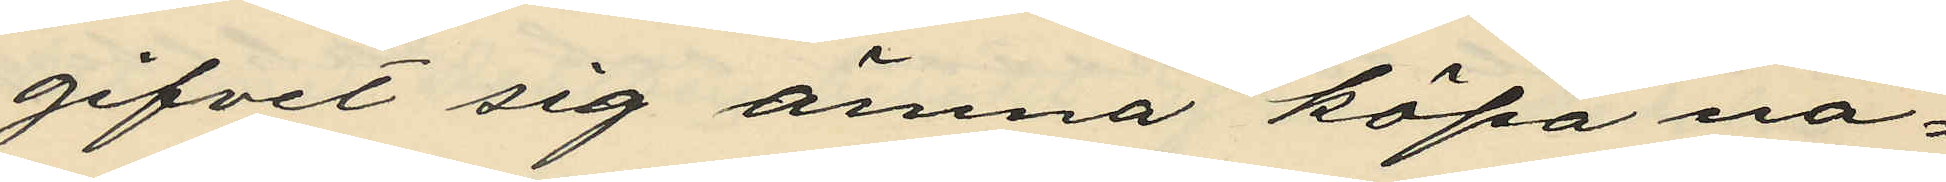gifvet sig ämna köpa nå¬
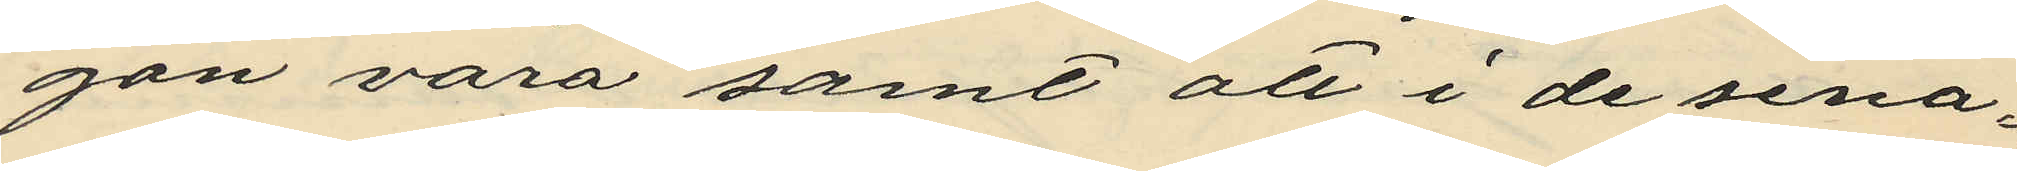gon vara samt att i de sena¬
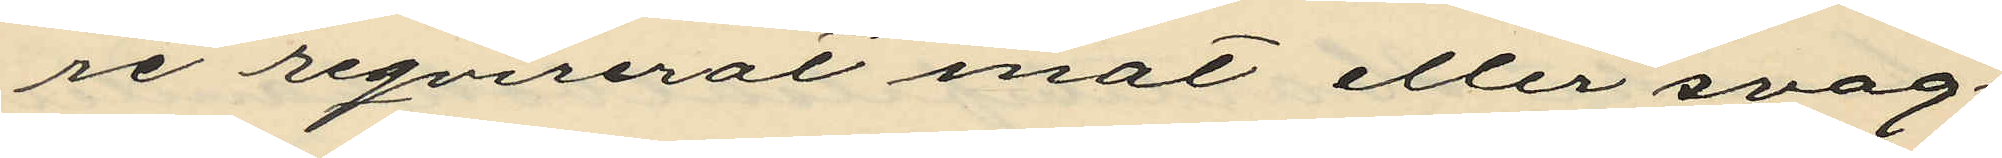re reqvirerat mat eller svag¬
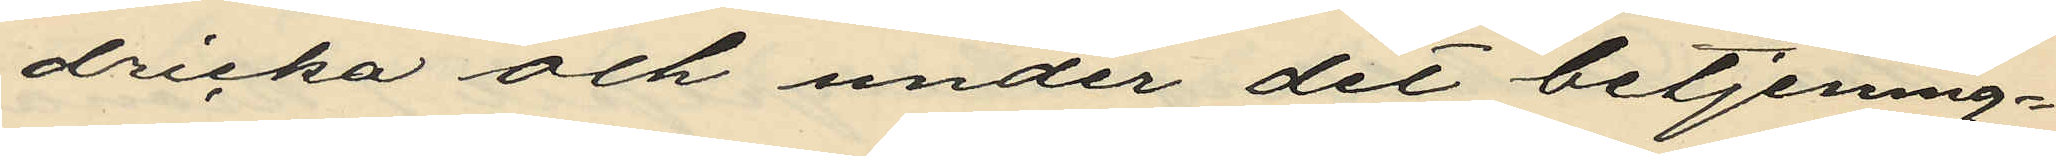dricka och under det betjening¬
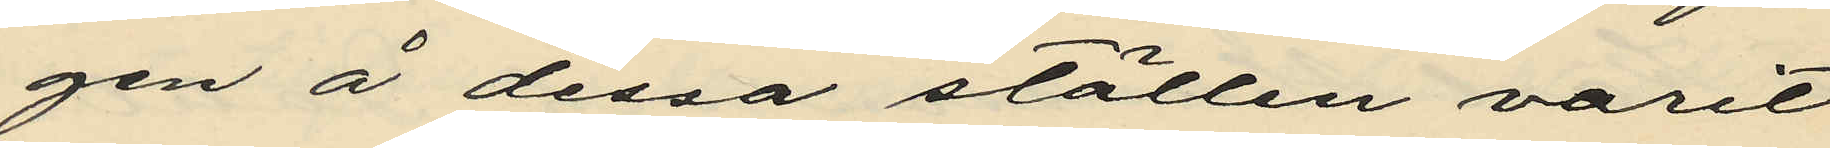gen å dessa ställen varit
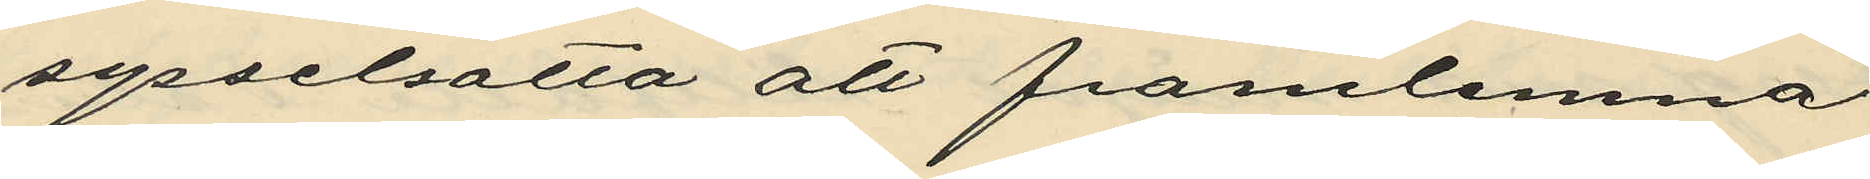sysselsatta att framlemna
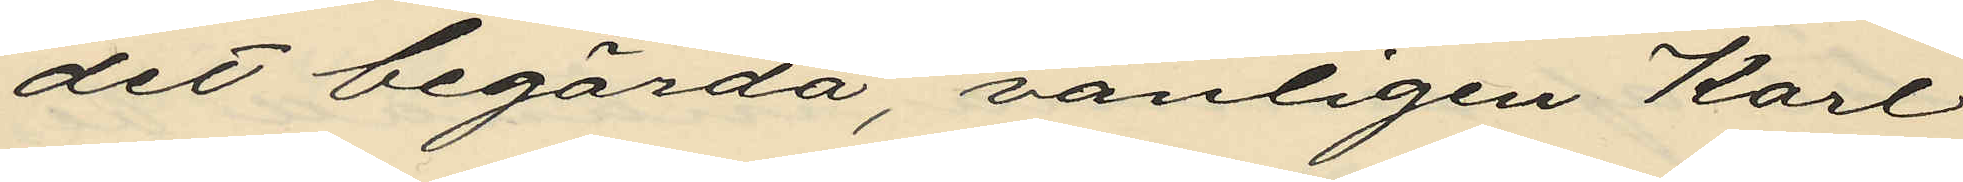det begärda, vanligen Karl
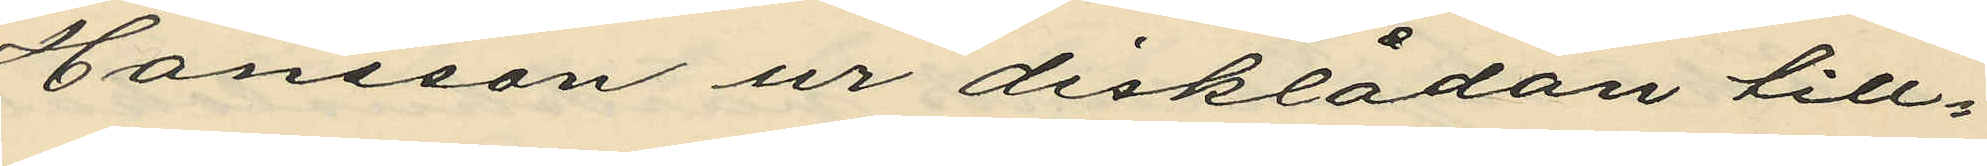Hansson ur disklådan till¬
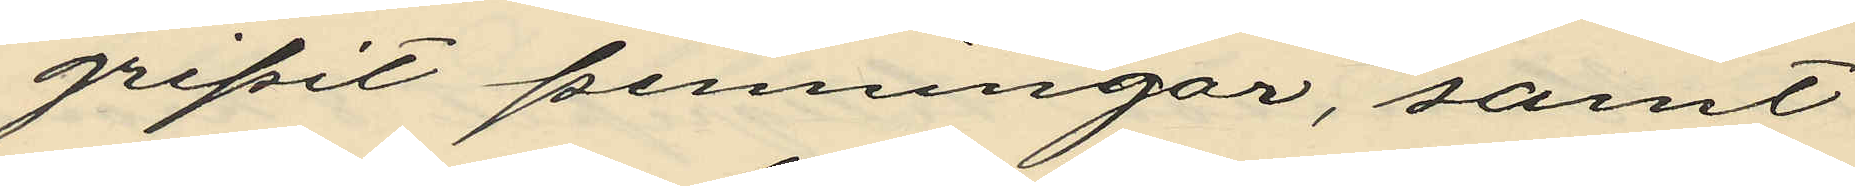gripit penningar, samt
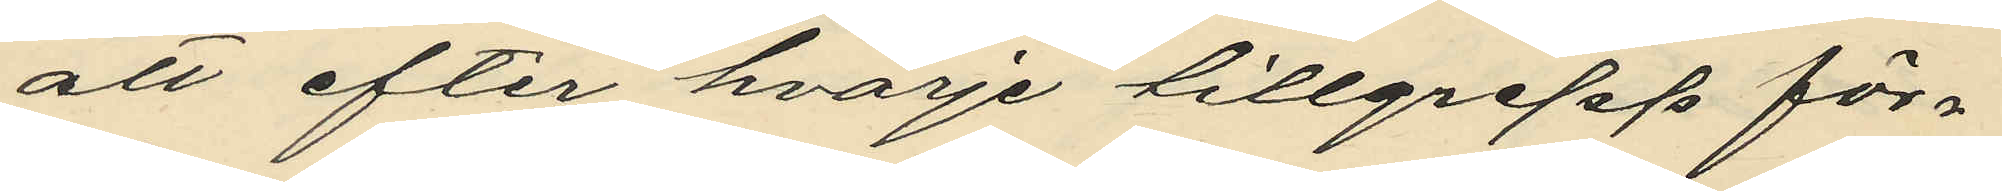att efter hvarje tillgrepp för¬
